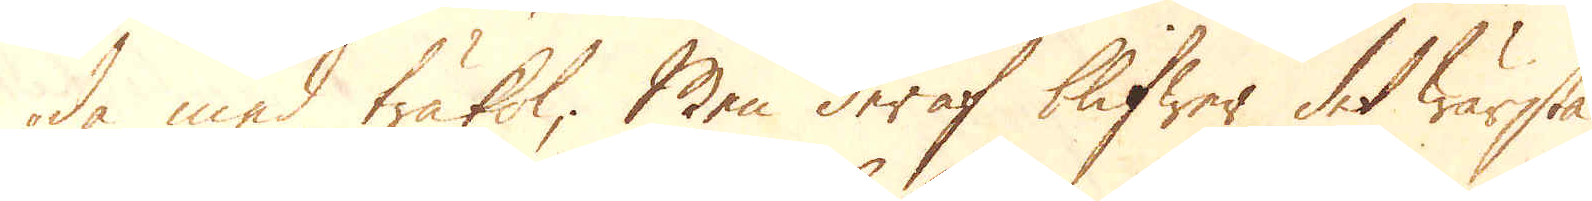de med träkol; Men deraf blifwer det wärsta
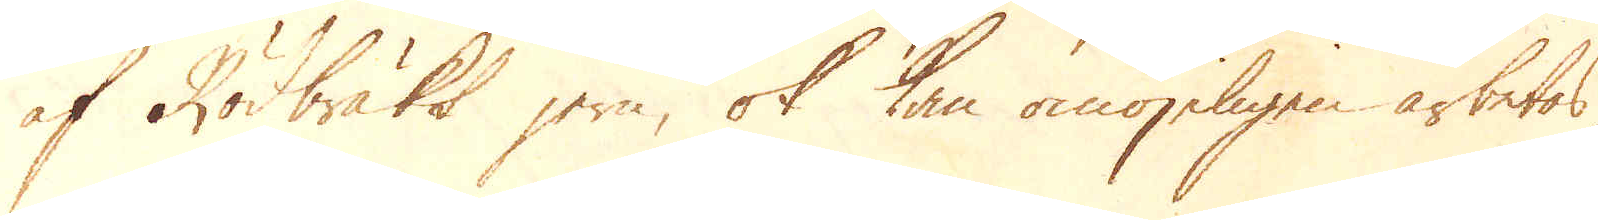af Rödbräkt jern, ok kan omöjeligen arbetas,
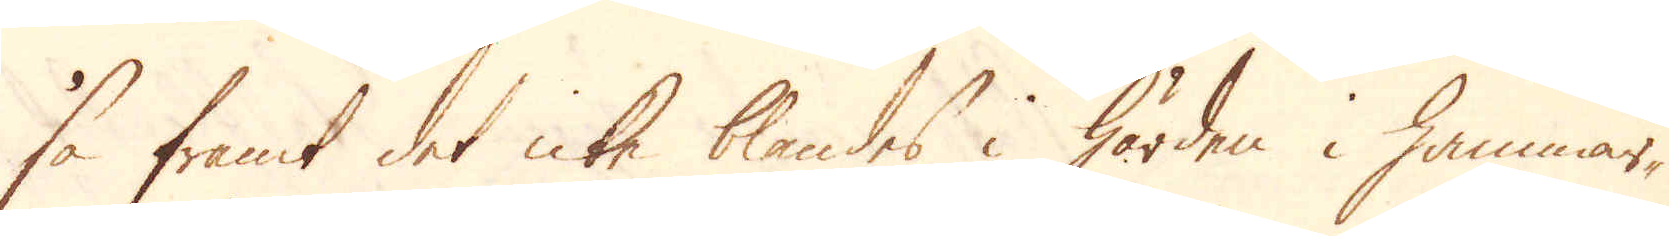så framt det icke blandes i Härden i Hammar-
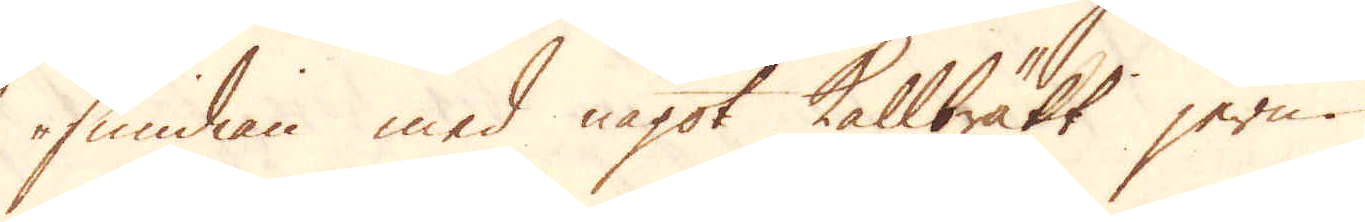smidian med något Kallbärkt jern.
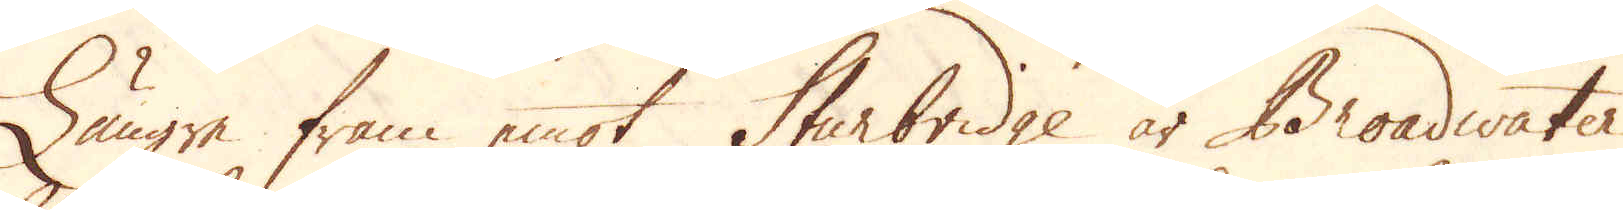Längre fram emot Sturbridge är Broadwater
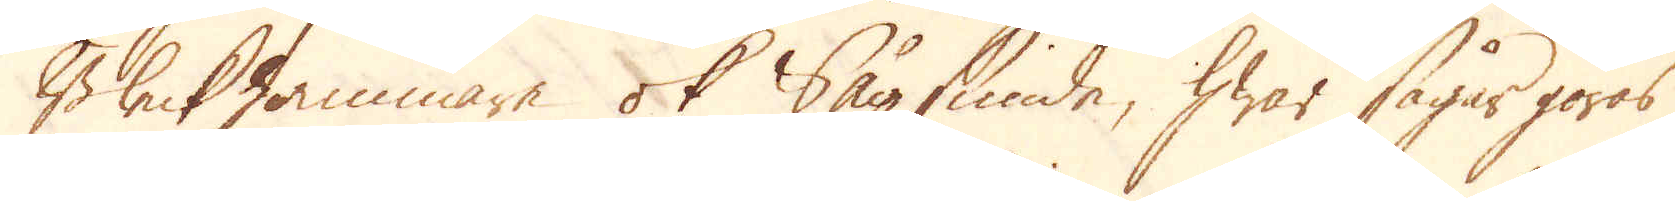Bleckhammare ok Sågsmide, hwar sågar göras
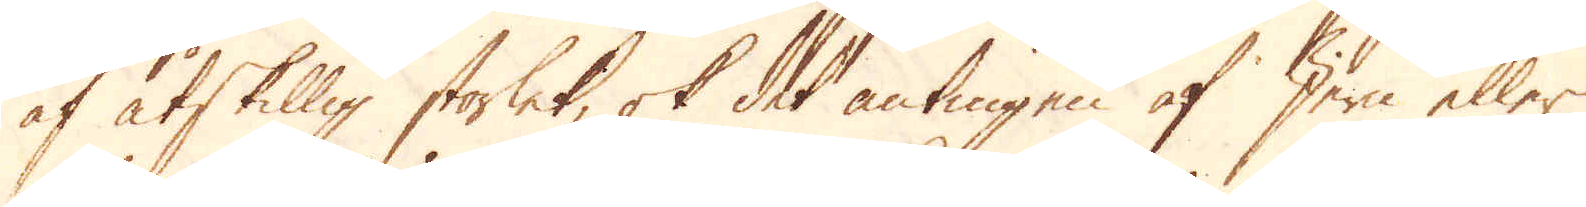af åtskillig storlek, ok det antingen af Jern eller
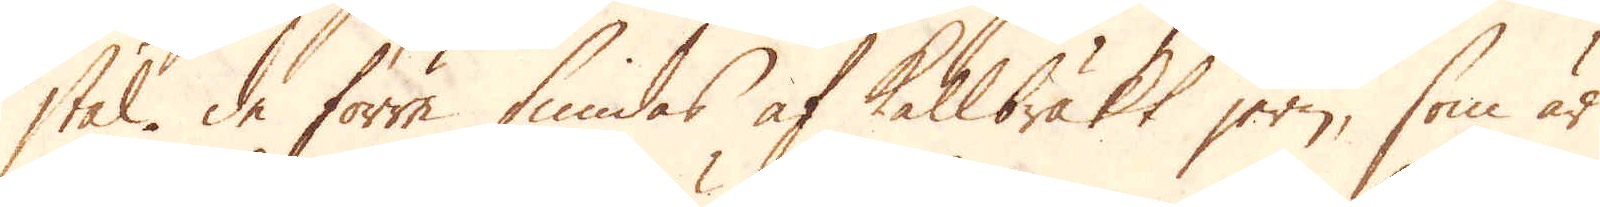stål. De förre smidas af Kallbräkt jern, som är
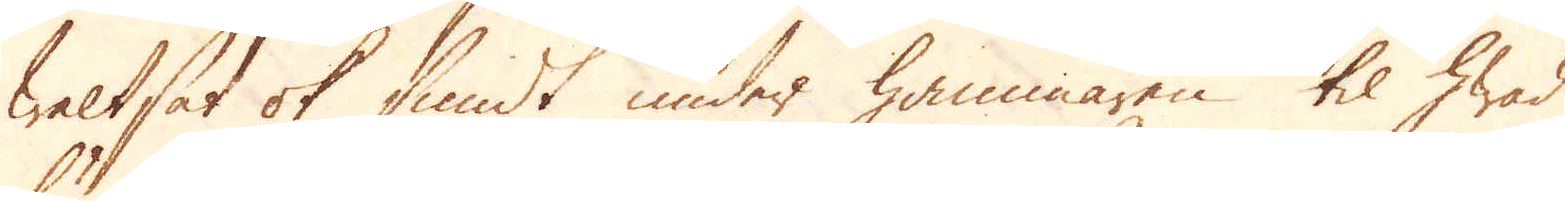Waltsat ok smidt under hammaren til hwad
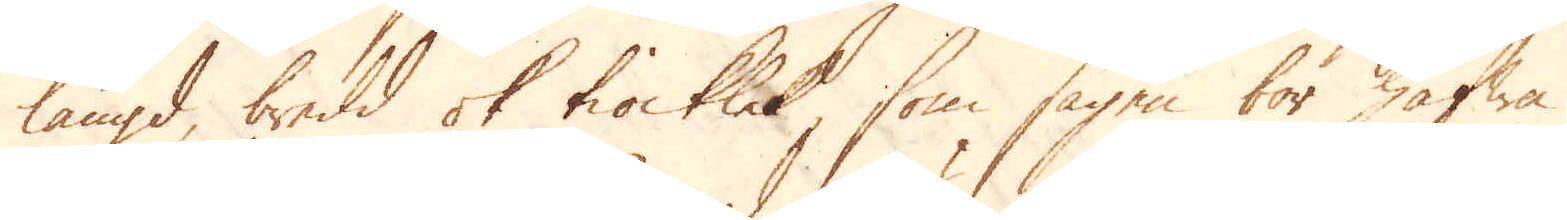längd, bredd ok tiocklek, som sågen bör hafwa.
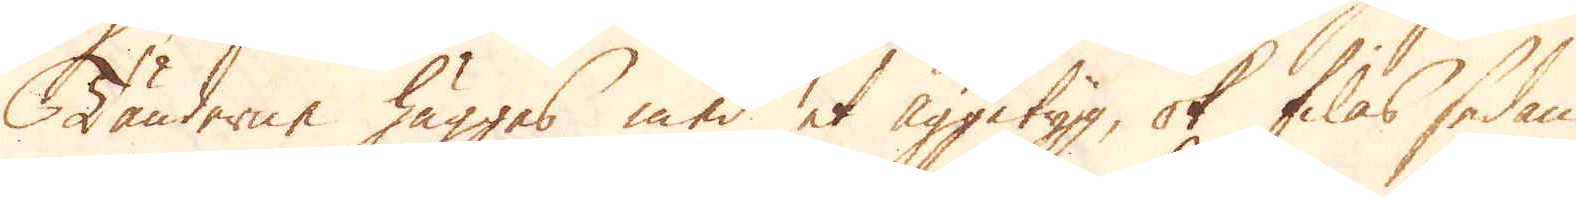Tänderne huggas med et Äggetyg, ok filas sedan
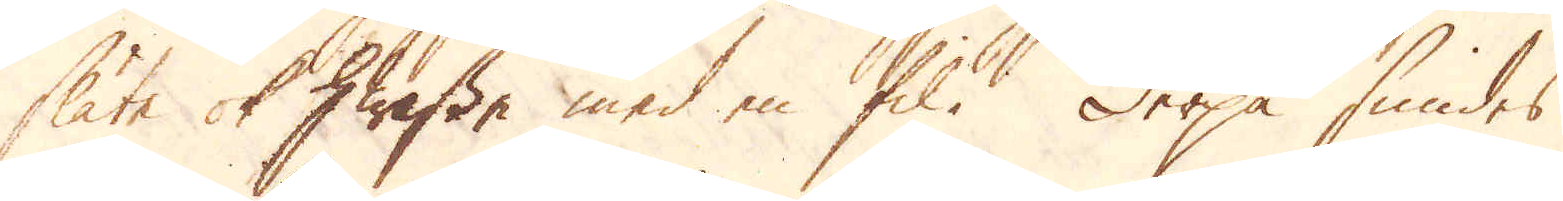släte ok hwasse med en fil. Derpå smides
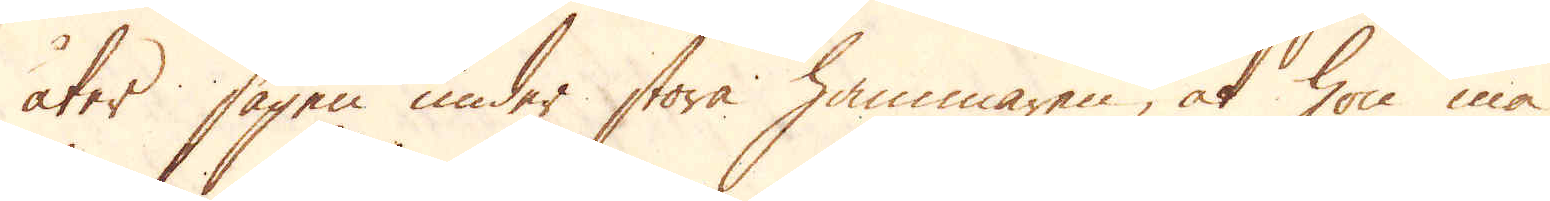åter sågen under stora hammaren, at hon må
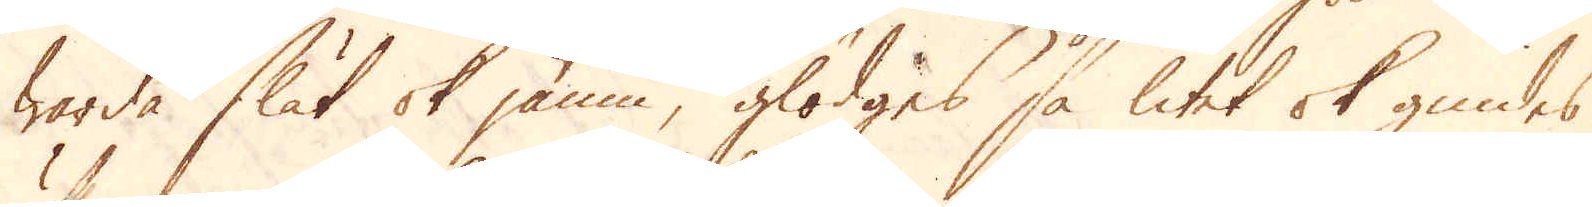warda slät ok jämn, glödgas så litet ok gnides
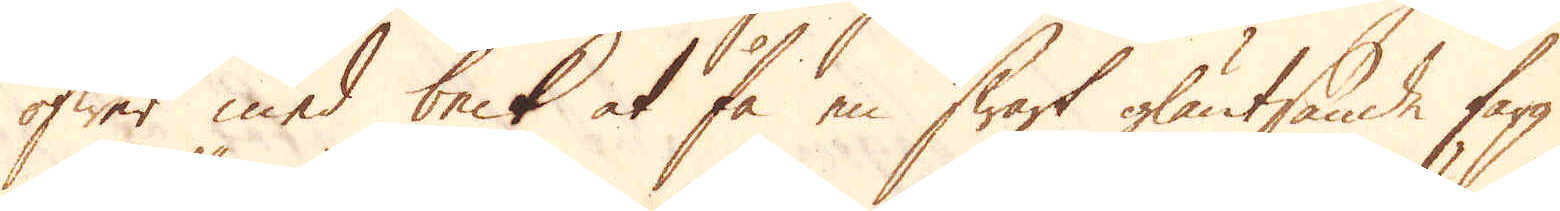öfwer med beck at få en swart gläntsande färg
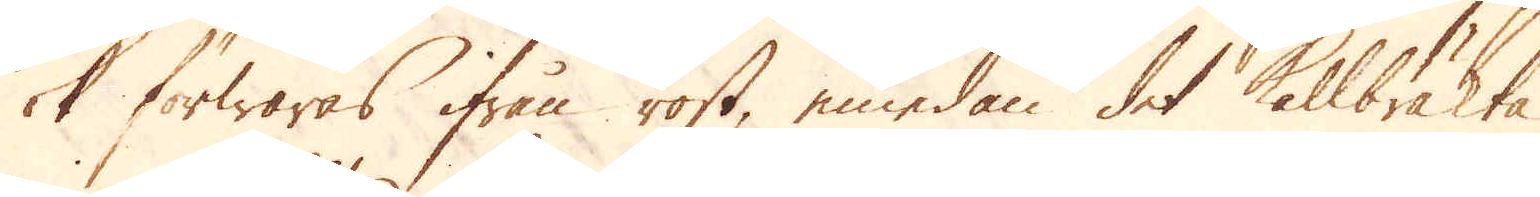ok förwaras ifrån rost, emedan det Kallbräkta
